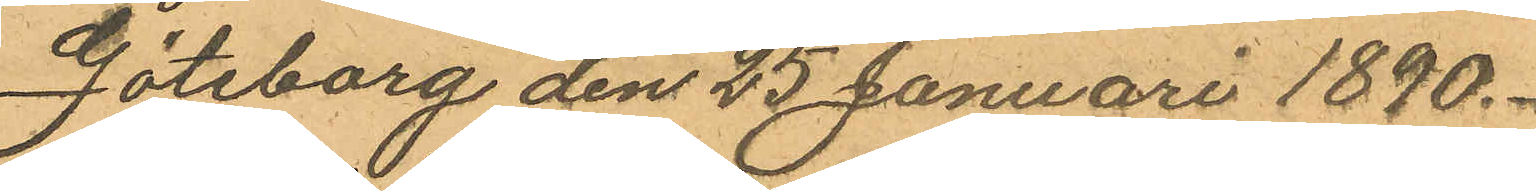Göteborg den 25 Januari 1890.
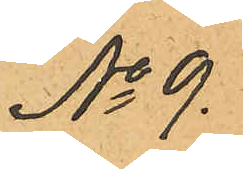No 9.
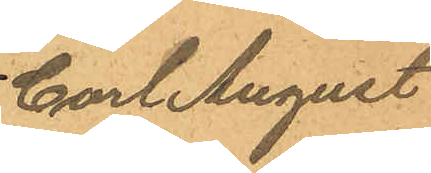Carl August
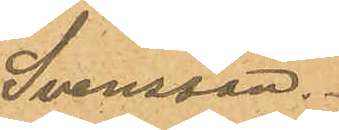Svensson.
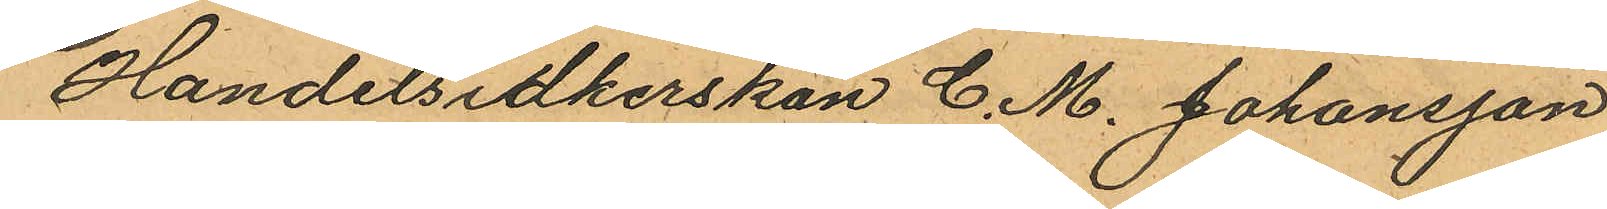Handelsidkerskan C. M. Johansson
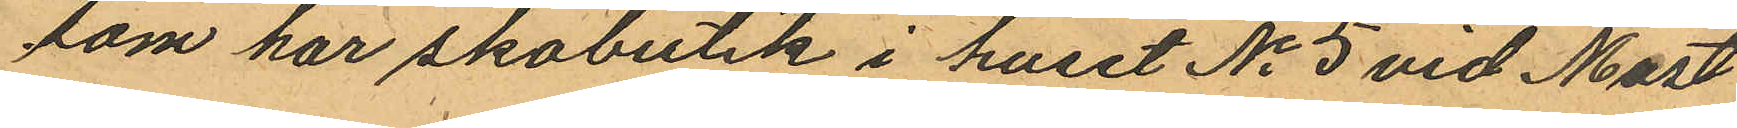som har skobutik i huset No 5 vid Mast
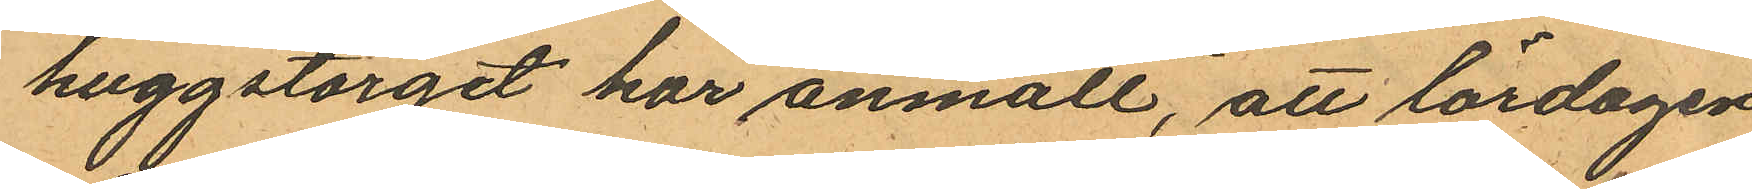huggstorget har anmält, att lördagen
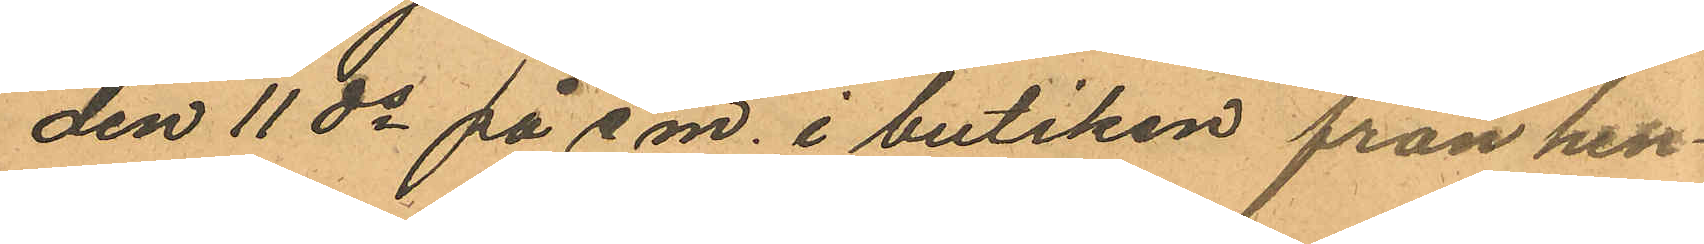den 11 ds på e.m. i butiken från hen¬
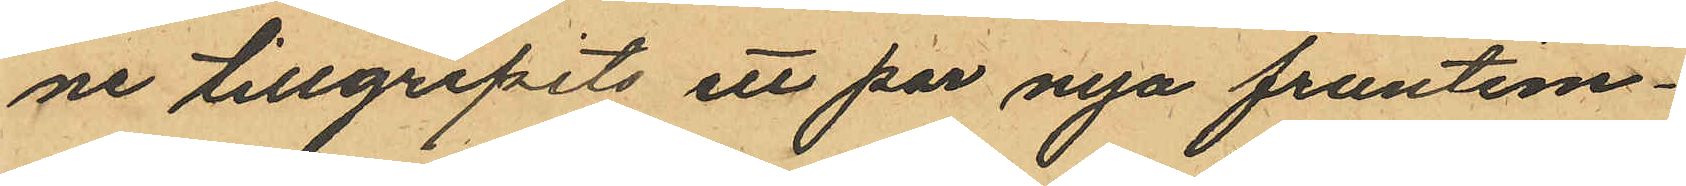ne tillgripits ett par nya fruntim¬
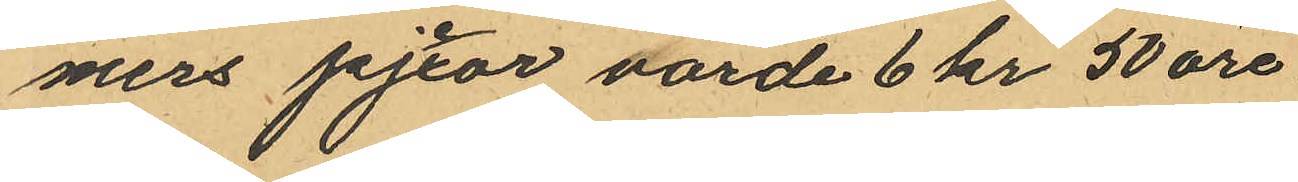mers pejxor värde 6 kr 50 öre
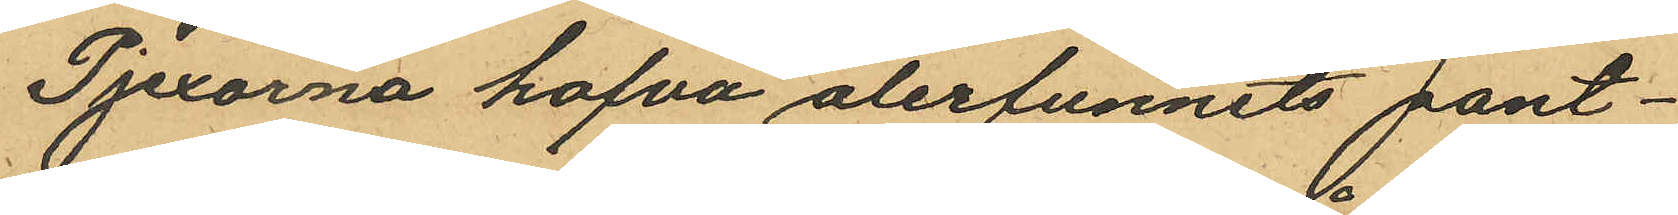Pjexorna hafva återfunnits pant¬
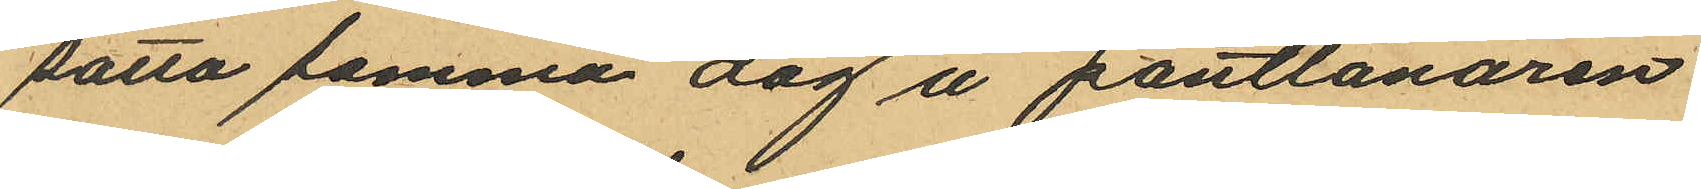satta samma dag å pantlånaren
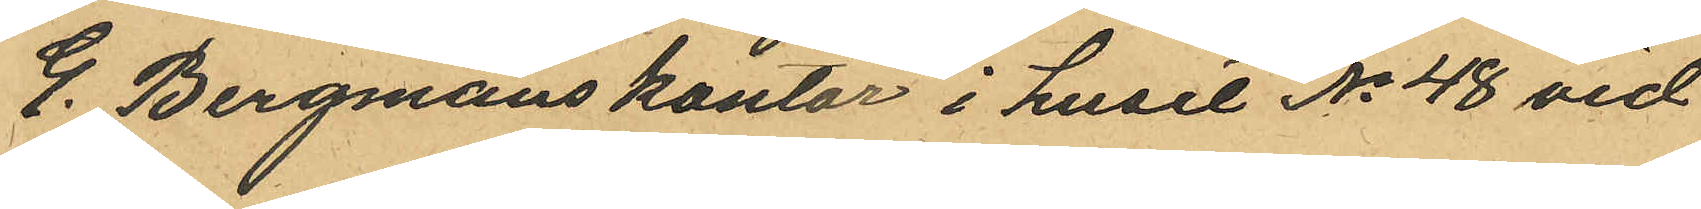G. Bergmans kontor i huset No 48 vid
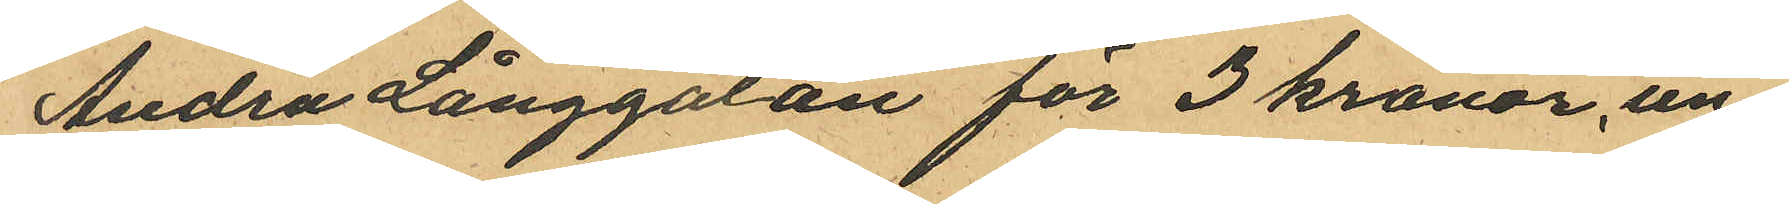Andra Långgatan för 3 kronor, un¬
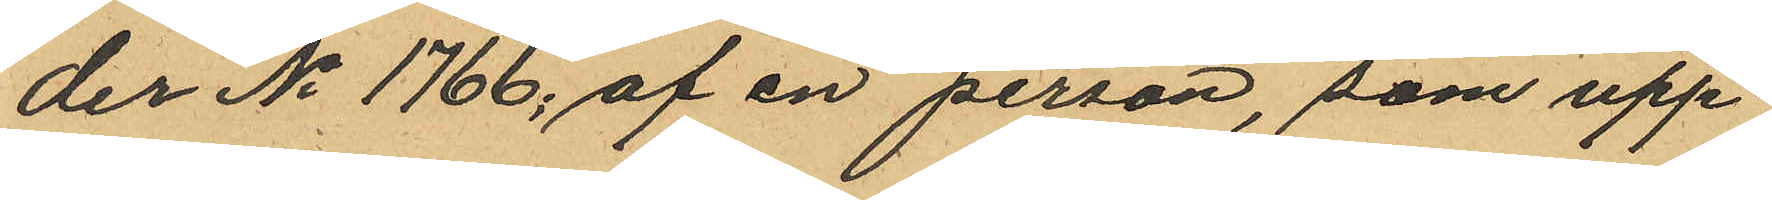der No 1766; af en person, som upp¬
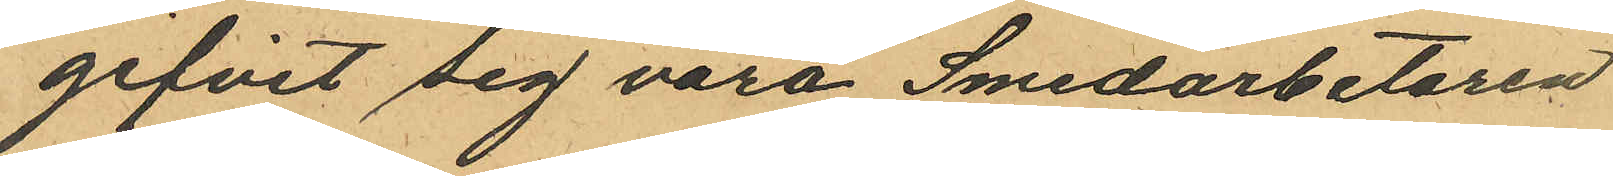gifvit sig vara Smedarbetaren
